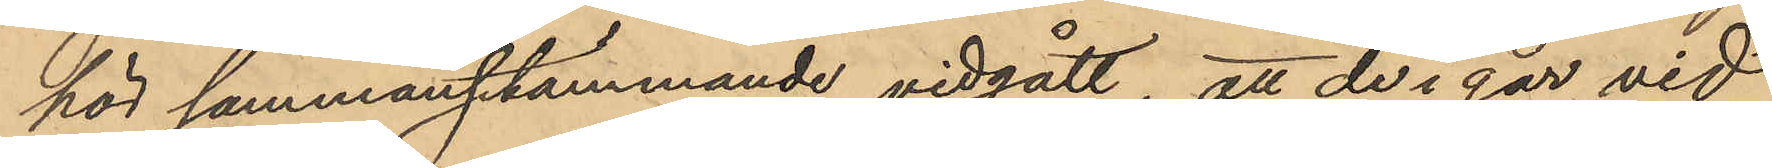hör sammanstämmande vidgått, att de i går vid
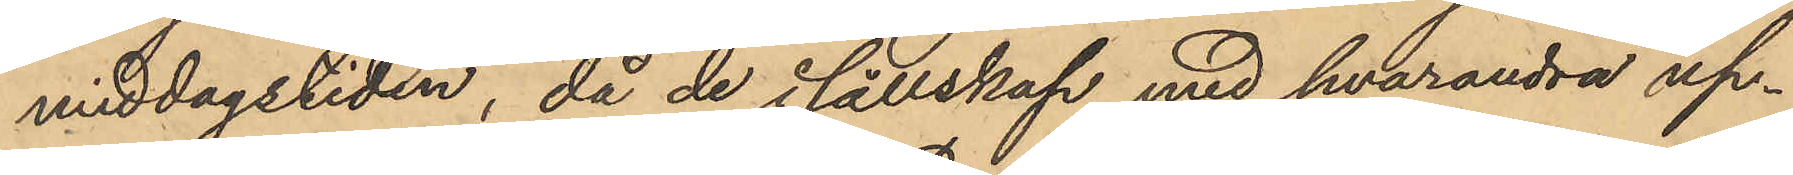middagstiden, då de i sällskap med hvarandra up¬
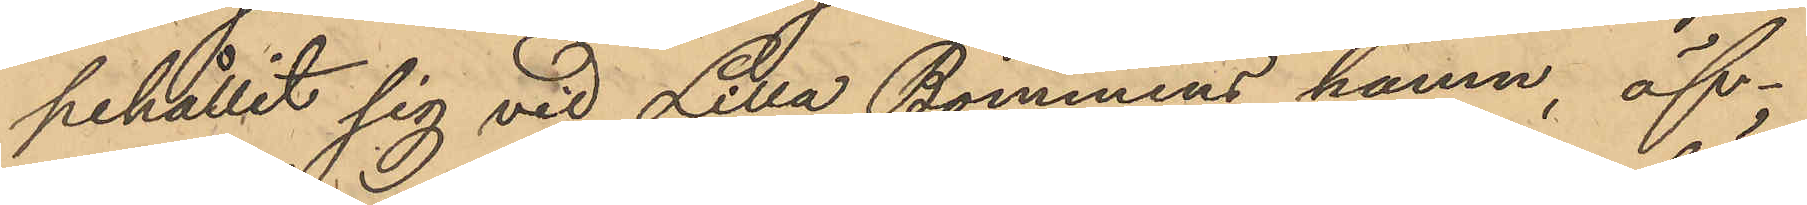pehållit sig vid Lilla Bommens hamn, öf¬
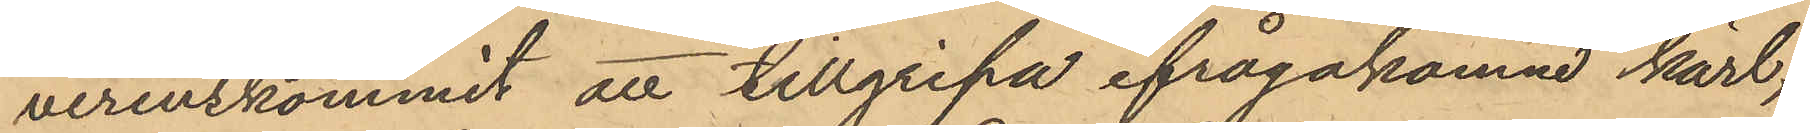verenskommit att tillgripa ifrågakomne kärl,
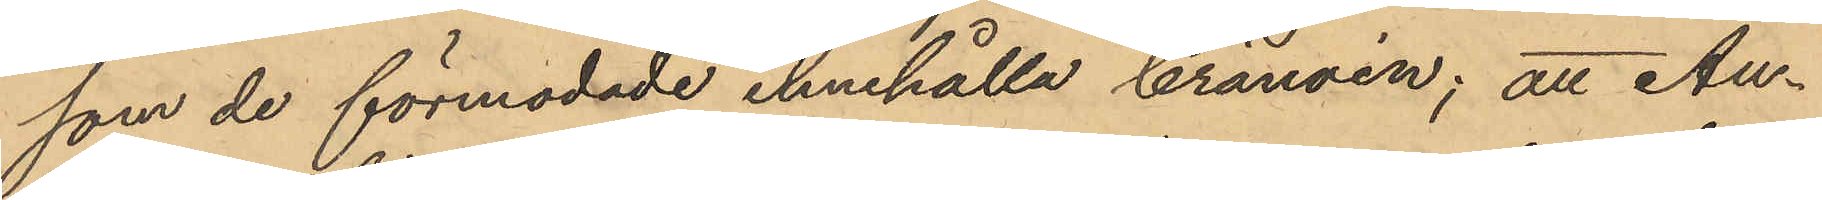som de förmodade innehålla brännvin; att An¬
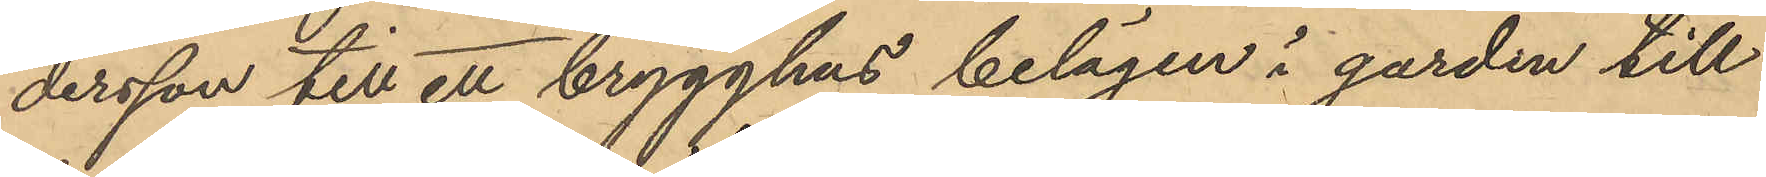dersson till ett brygghus belägen i garden till
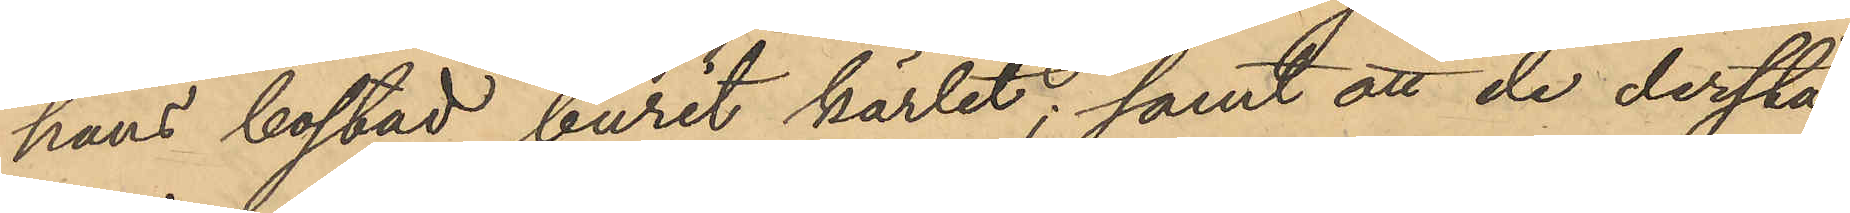hans bostad burit kärlet; samt att de derstä¬
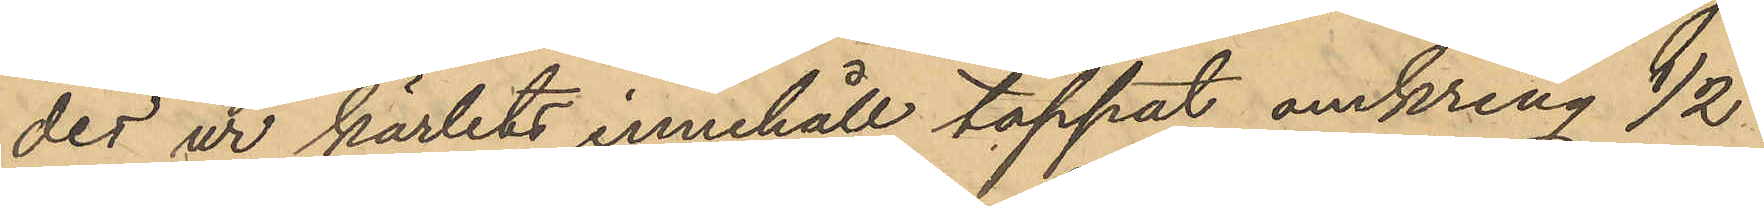des ur kärlets innehåll tappat omkring 1/2
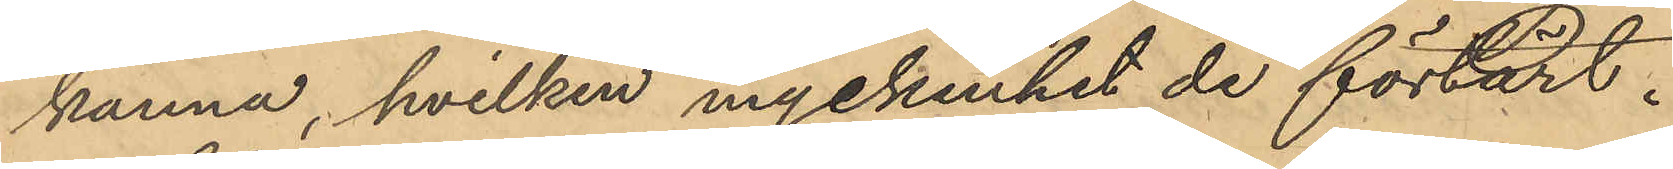kanna, hvilken myckenhet de förtärt.
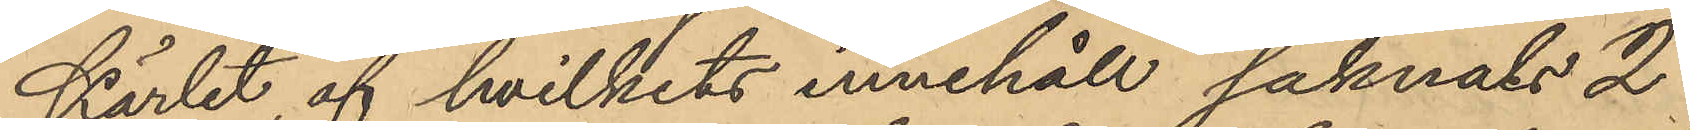Kärlet, af hvilkets innehåll saknats 2
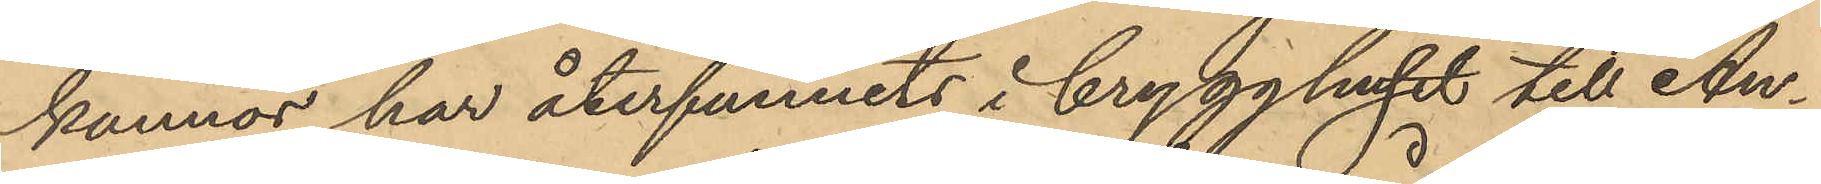kannor, har återfunnits i brygghuset till An¬
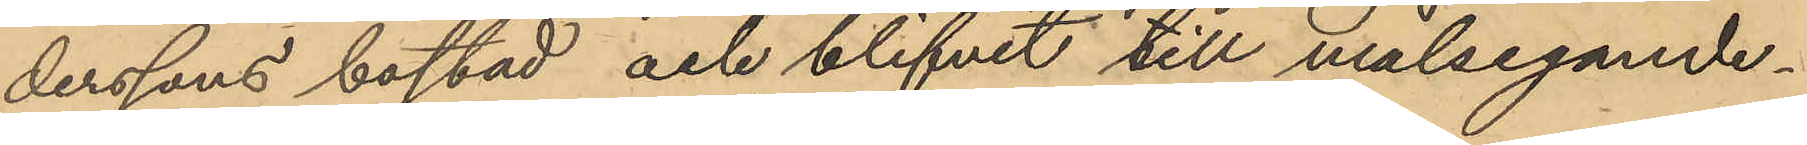derssons bostad och blifvit till målsegande¬
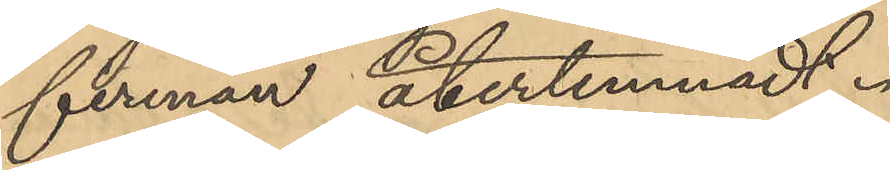firman återlemnadt.
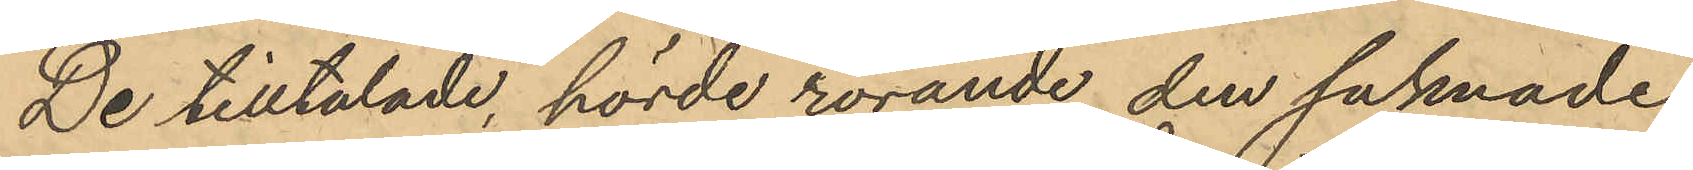De tilltalade, hörde rörande den saknade
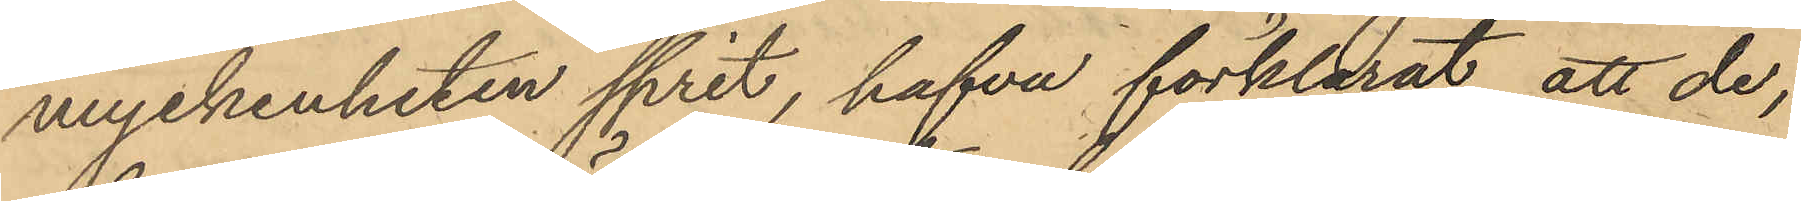myckenheten sprit, hafva förklarat, att de,
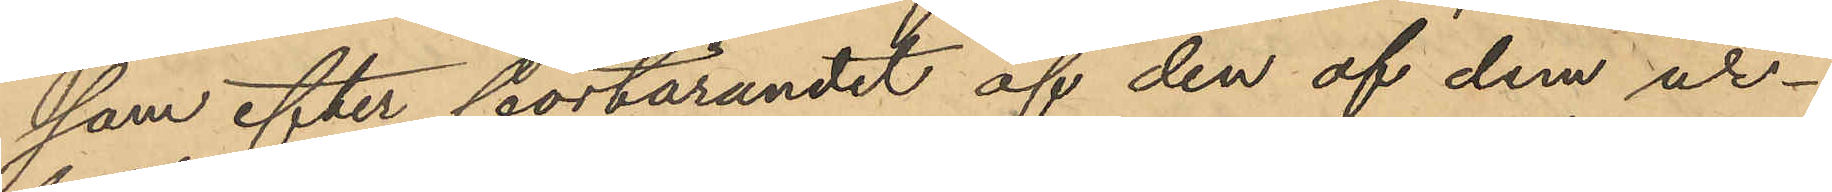som efter förtärandet af den af dem ur¬
